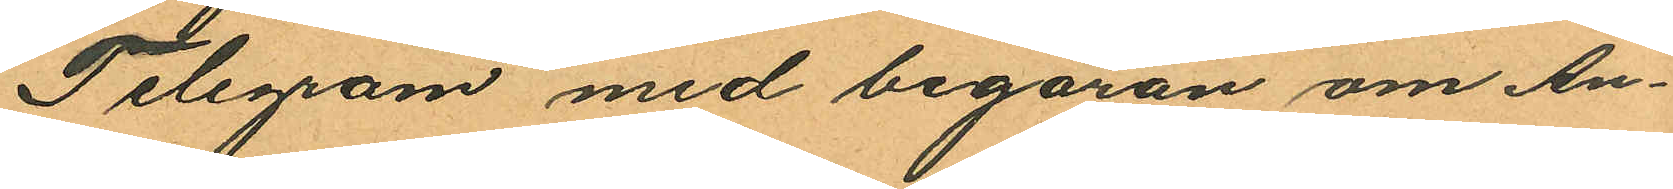Telegram med begäran om An¬
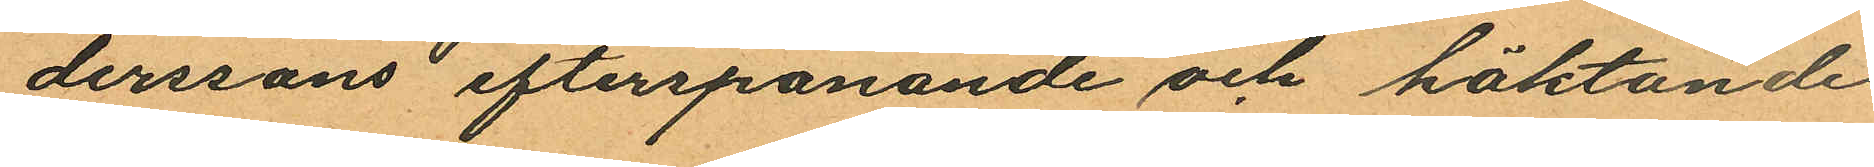derssons efterspanande och häktande
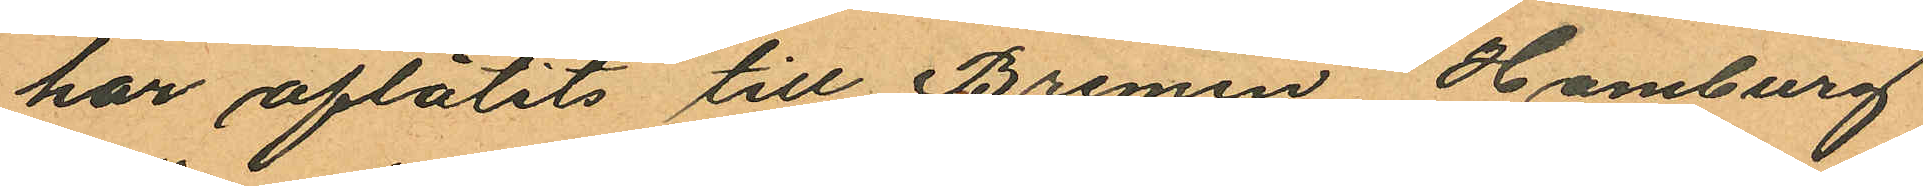har aflåtits till Bremen, Hamburg
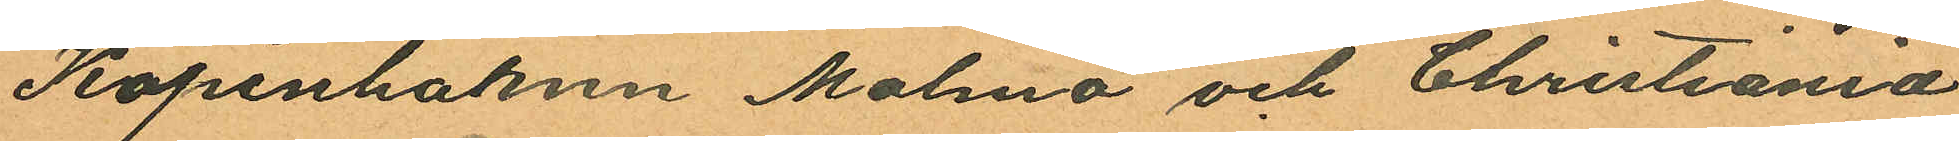Köpenhamn Malmö och Christiania
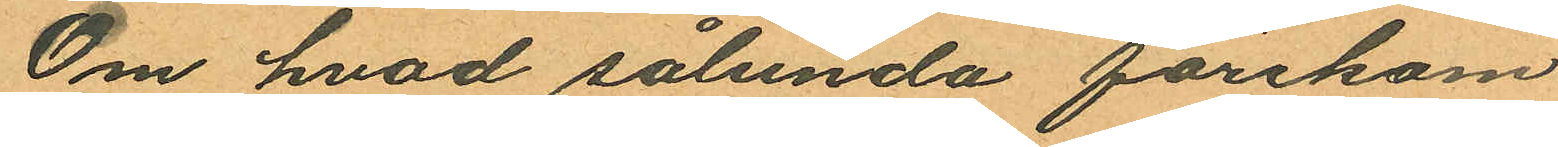Om hvad sålunda förekom¬
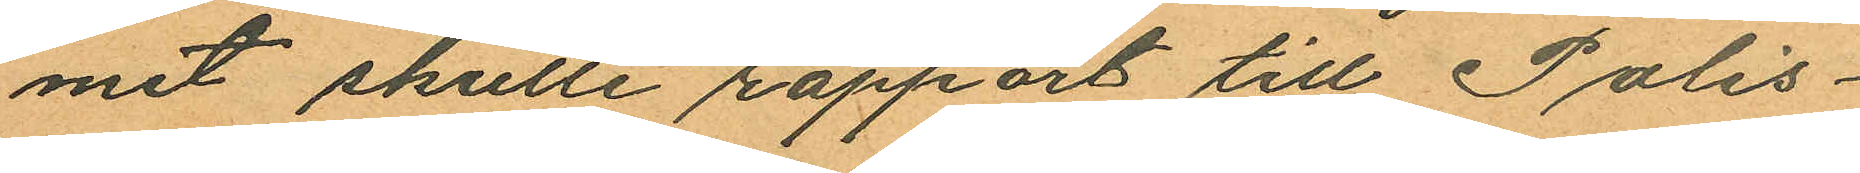mit skulle rapport till Polis¬
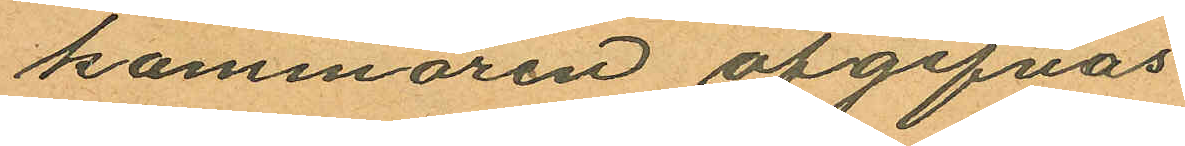kammaren afgifvas
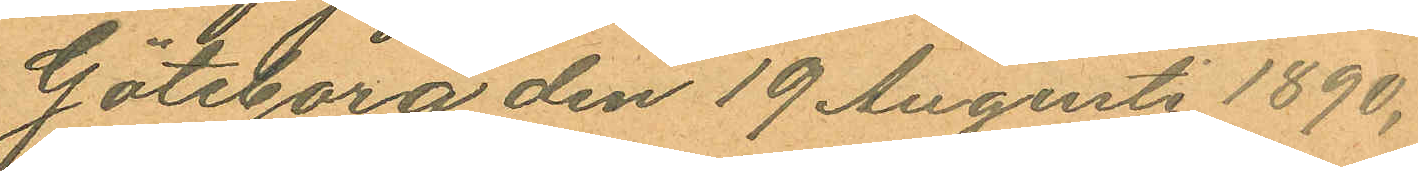Göteborg den 19 Augusti 1890.
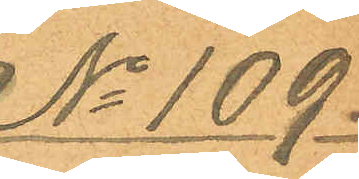No 109.
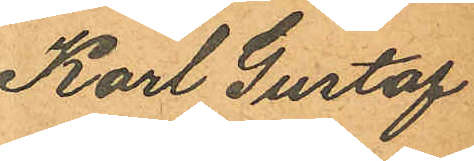Karl Gustaf
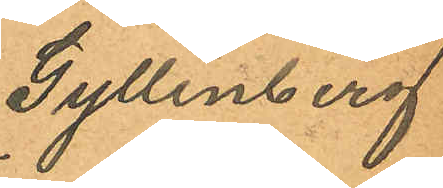Gyllenberg
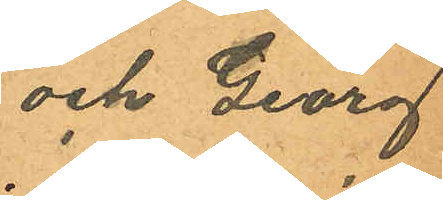och Georg
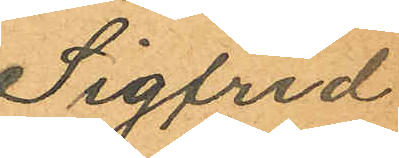Sigfrid
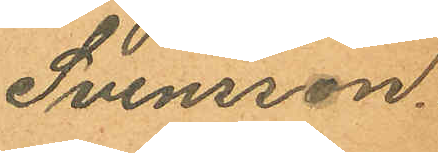Svensson.
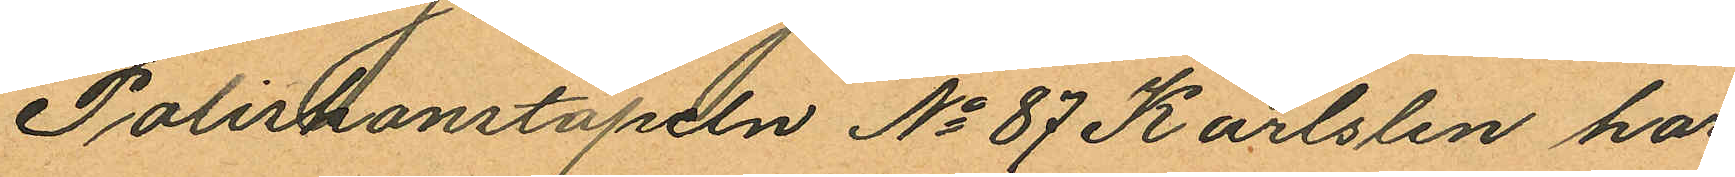Poliskonstapeln No 87 Karlslen har
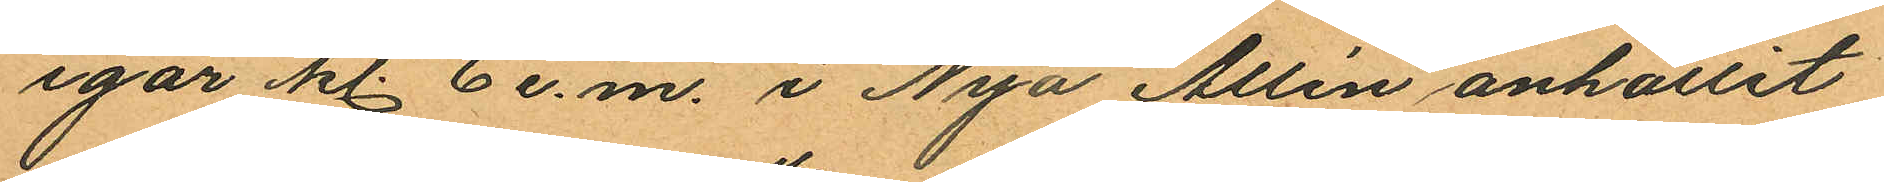igår kl. 6 e.m. i Nya Allén anhållit
